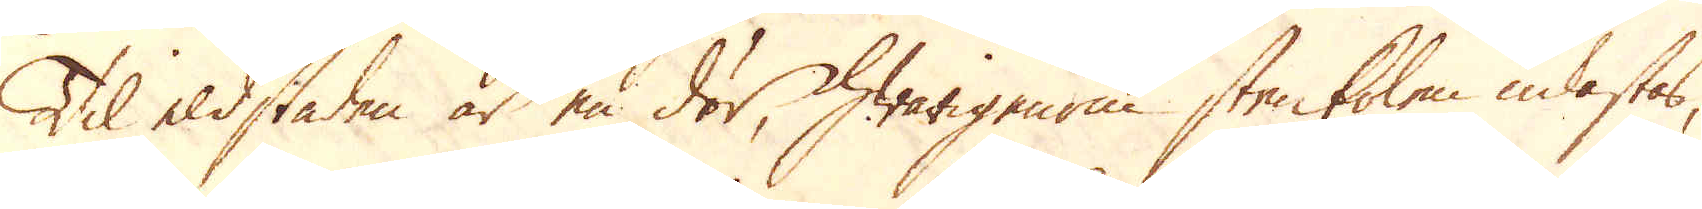Til eldstaden är en dör, hwarigenom stenkolen inkastes,
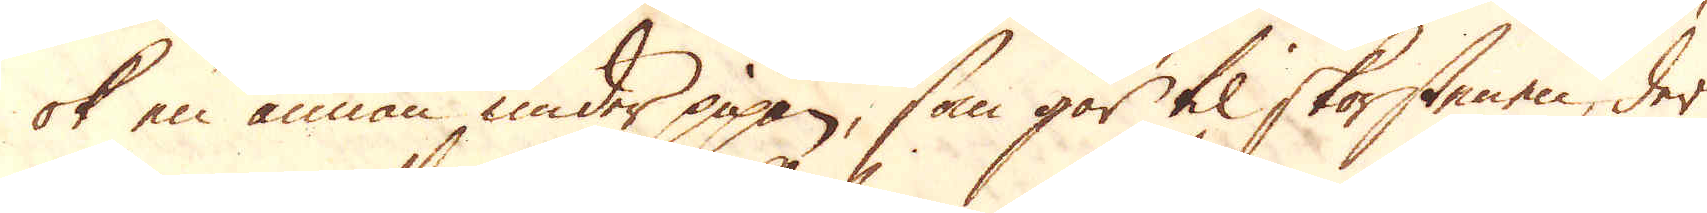ok en annan under pipan, som går til skorstenen, der
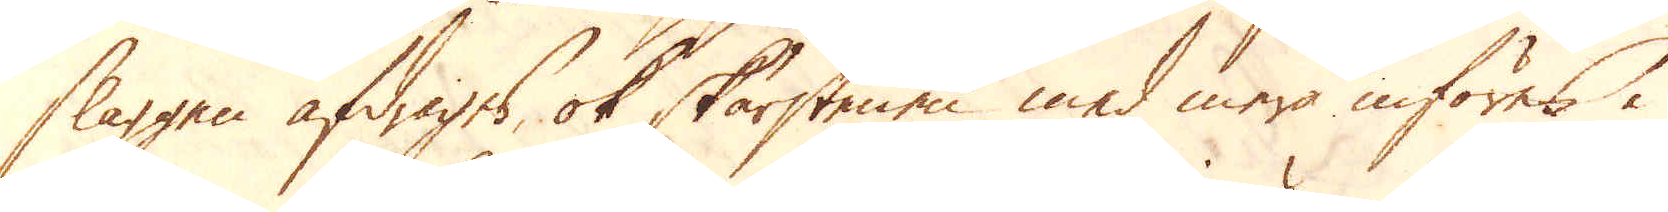slaggen afdrages, ok skorstenen med mera införes i
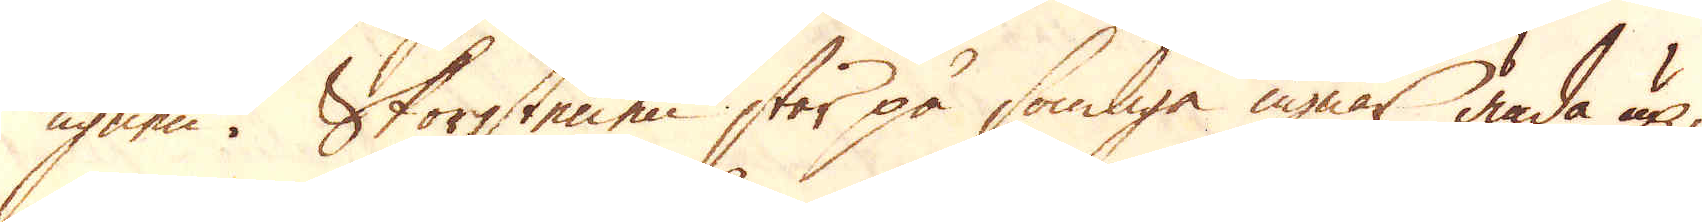ugnen. Skorstenen står på somliga ugnar ända up,
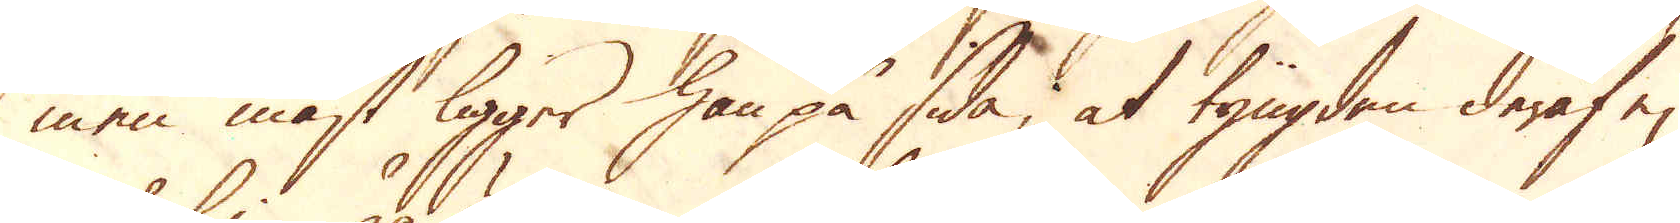men mäst ligger han på sida, at tyngden deraf ej
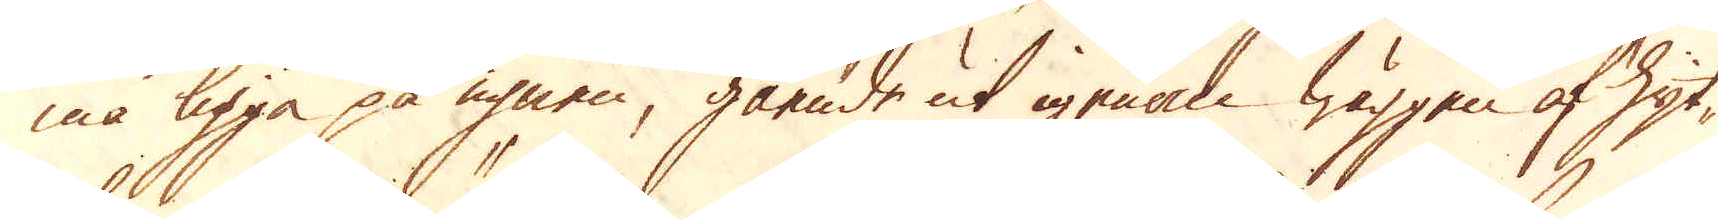må ligga på ugnen, gående ut igenom wäggen af hyt-
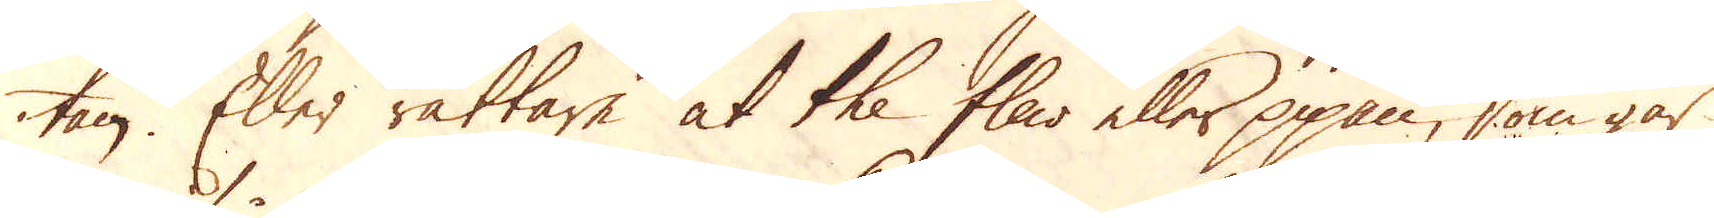tan. Eller rättare at the flar eller pipan, som går
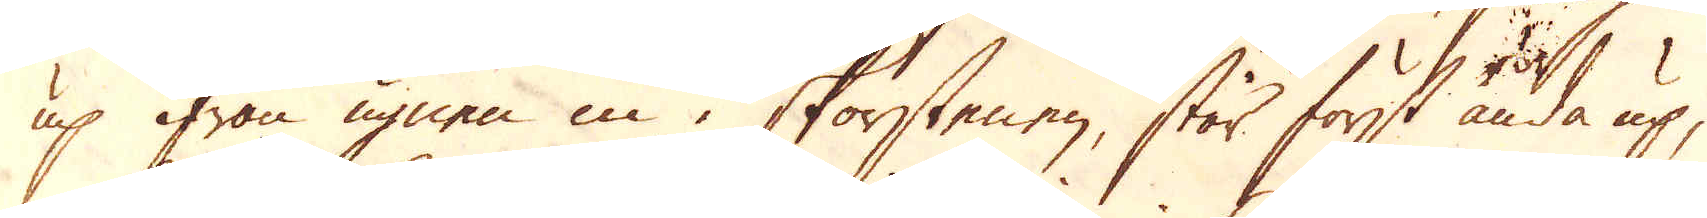up ifrån ugnen in i skorstenen, står först ända up,
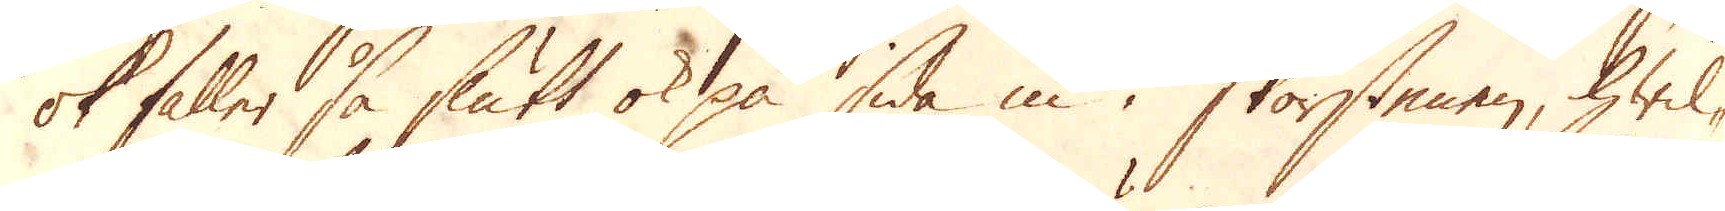ok faller så slutt ok på sida in i skorstenen, hwil-
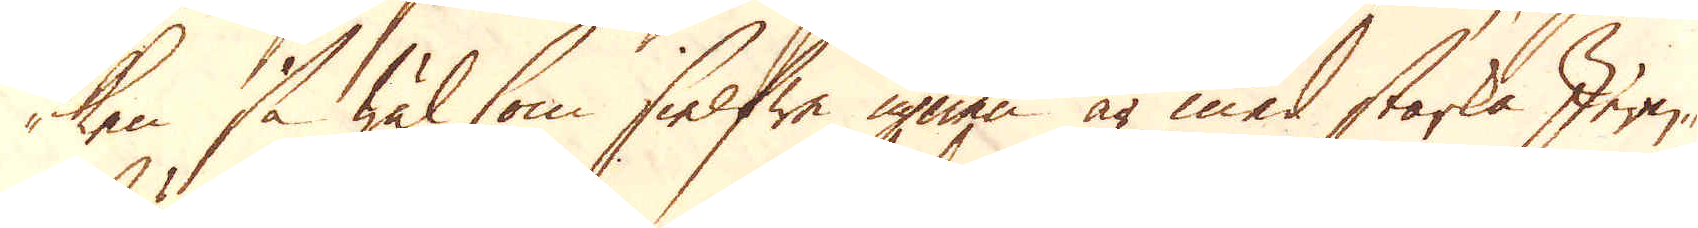ken, så wäl som sielfwe ugnen är med starka Jern-
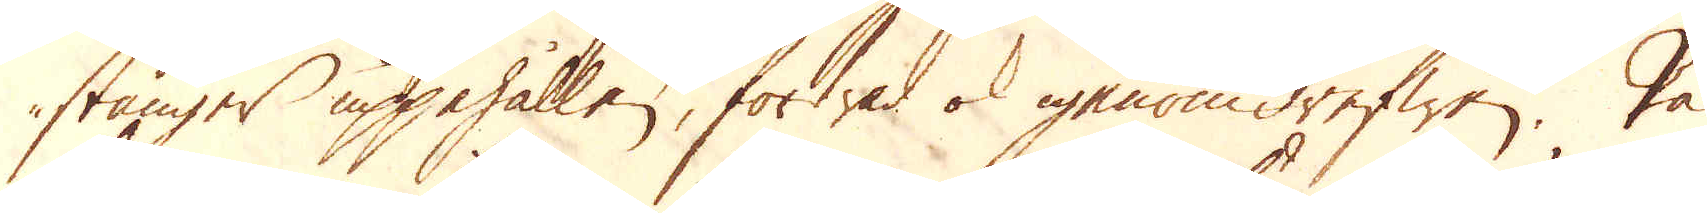stänger uppehållen, fortsad ok igenom drefwen. På
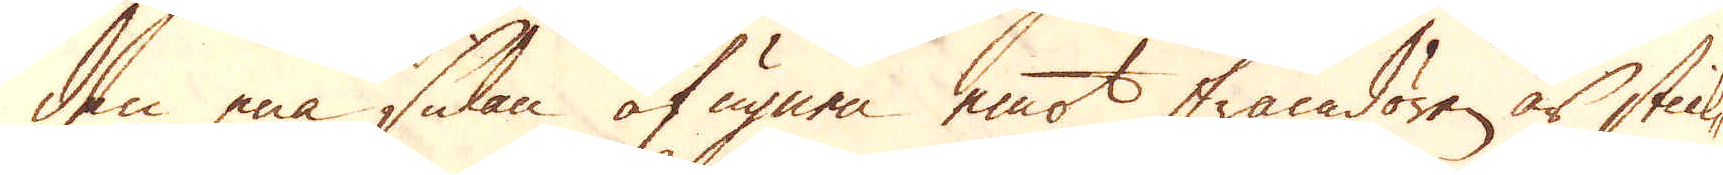den ena sidan af ugnen emot framdören är stick-
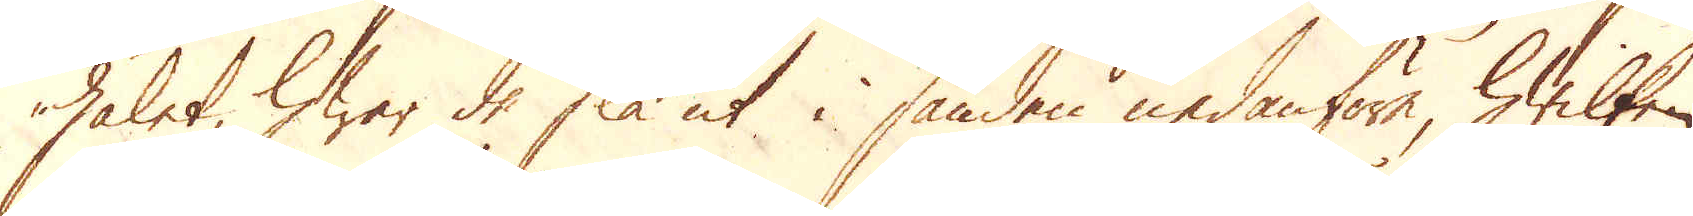hålet, hwar de slå ut i sanden nedanföre, hwilken
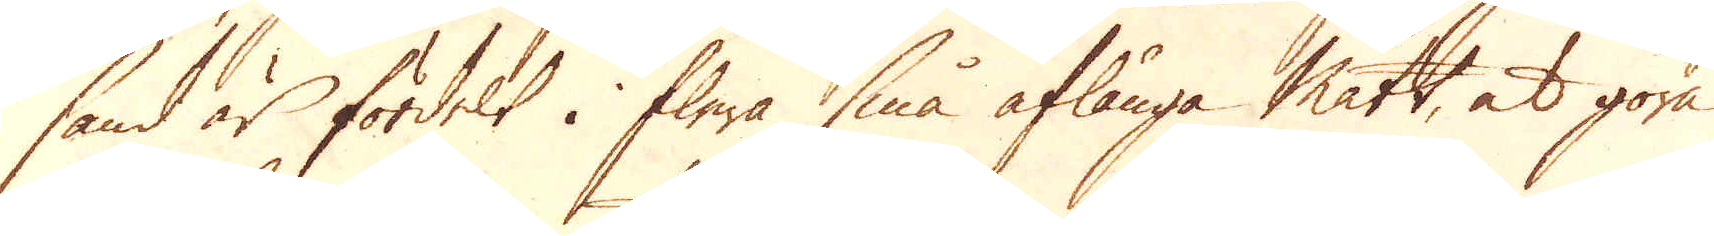sand är fördelt i flera små aflånga mått, at göra
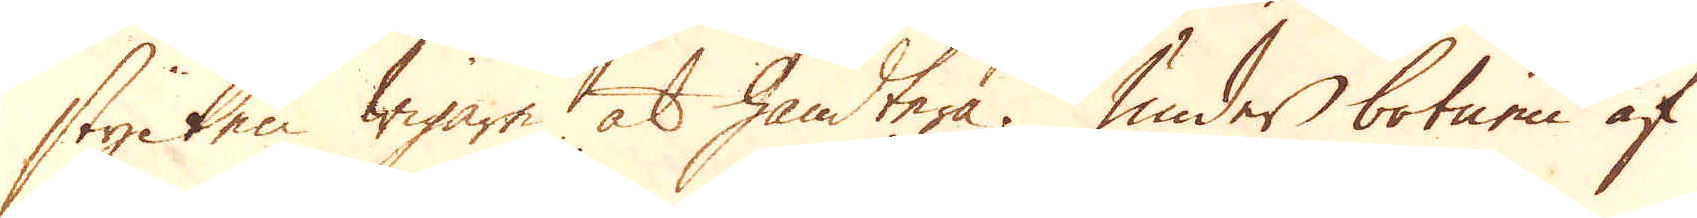stycken wigare at handtera. Under botnen af
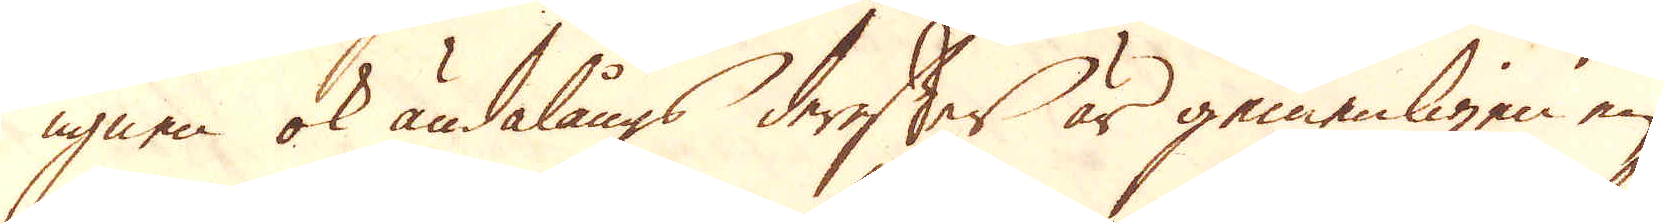ugnen ok ändalångs derefter är gemenligen en
